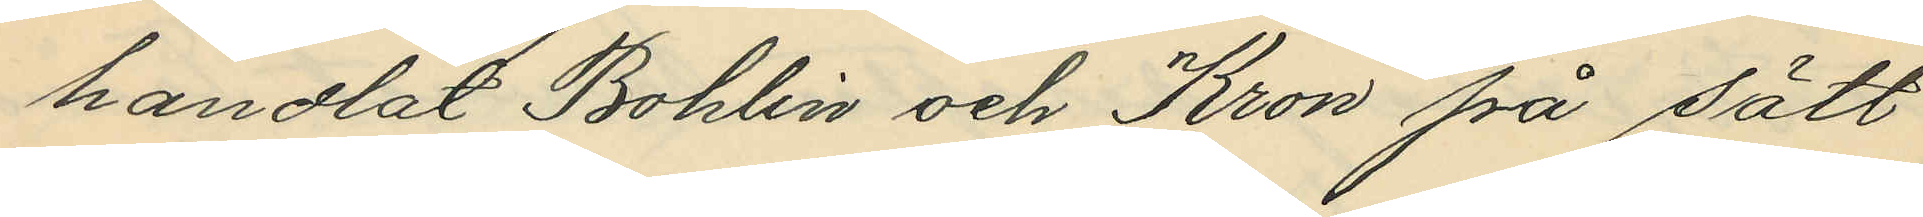handlat Bohlin och Kron på sätt
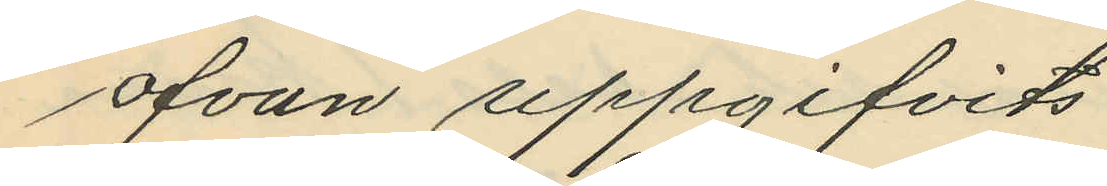ofvan uppgifvits.
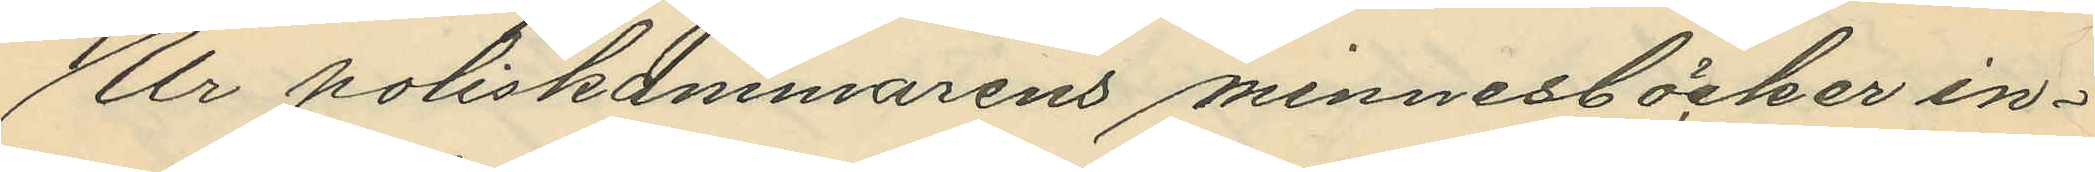Ur poliskammarens minnesböcker in¬
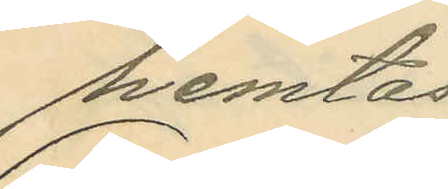hemtas
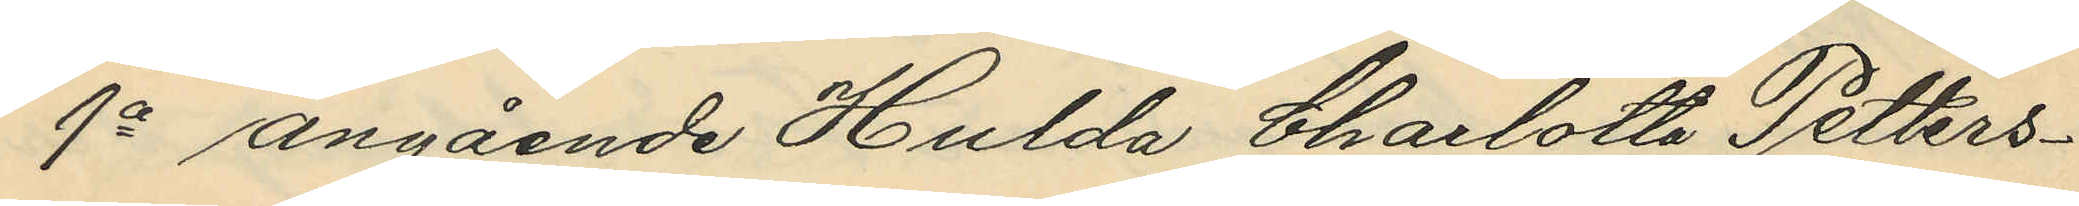1o angående Hulda Charlotta Petters¬
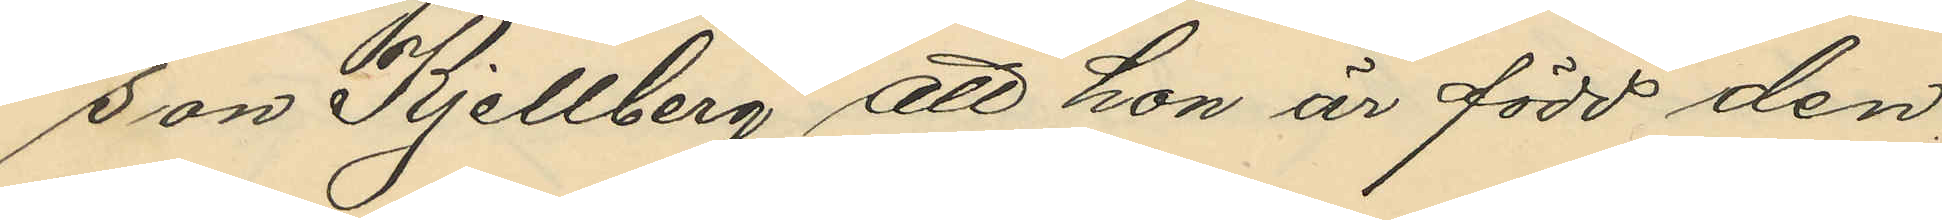son Kjellberg att hon är född den
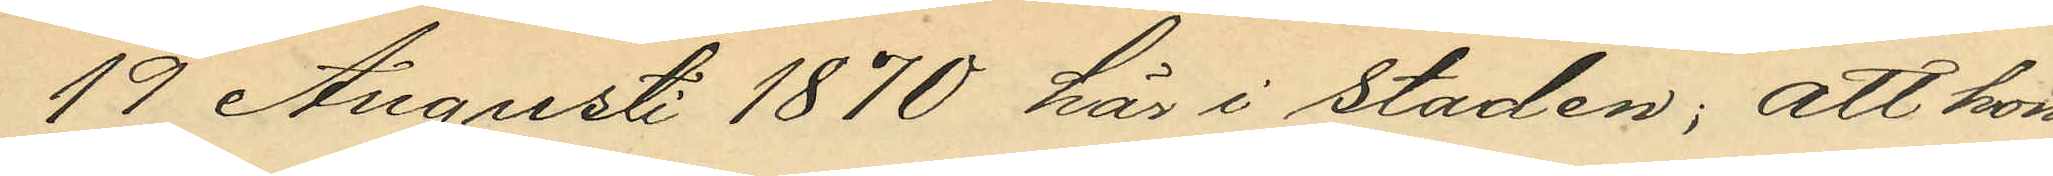19 Augusti 1870 här i staden; att hon
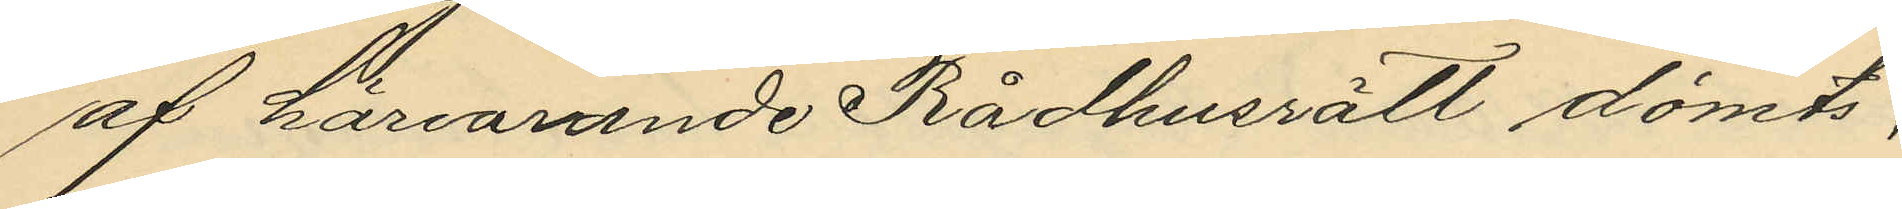af härvarande Rådhusrätt dömts;
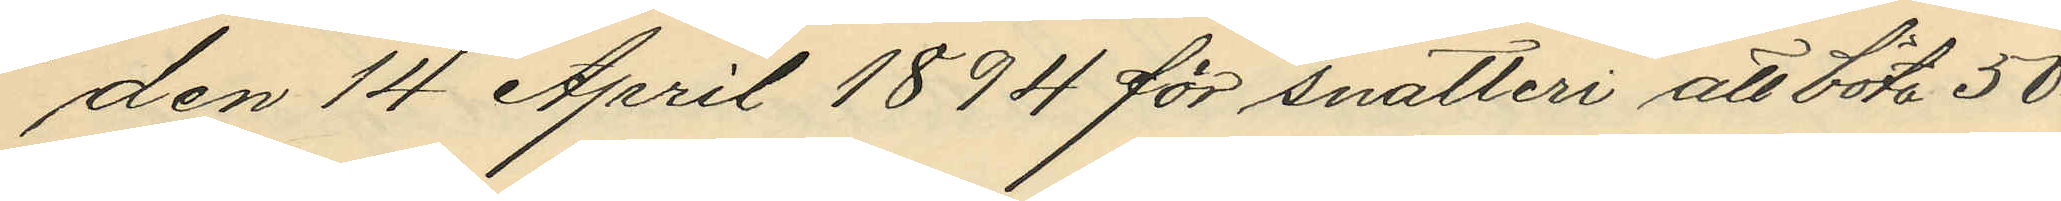den 14 April 1894 för snatteri att böta 50¬
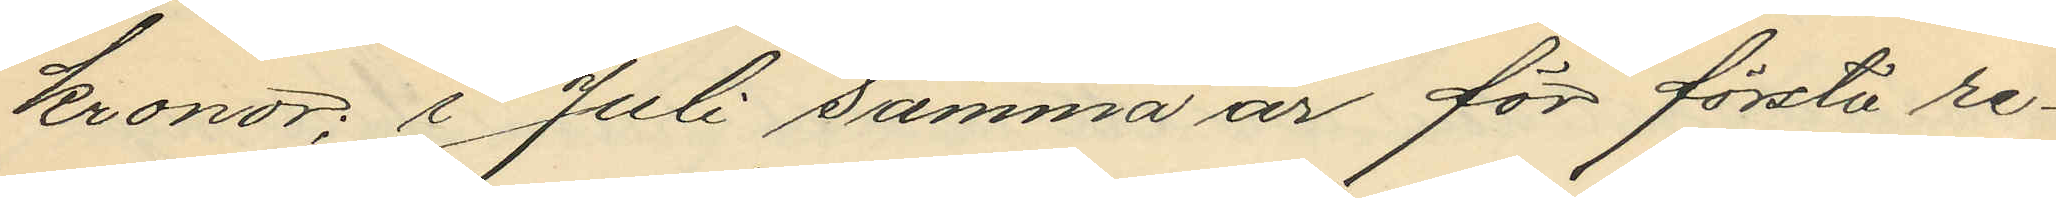kronor; i Juli samma år för första re¬
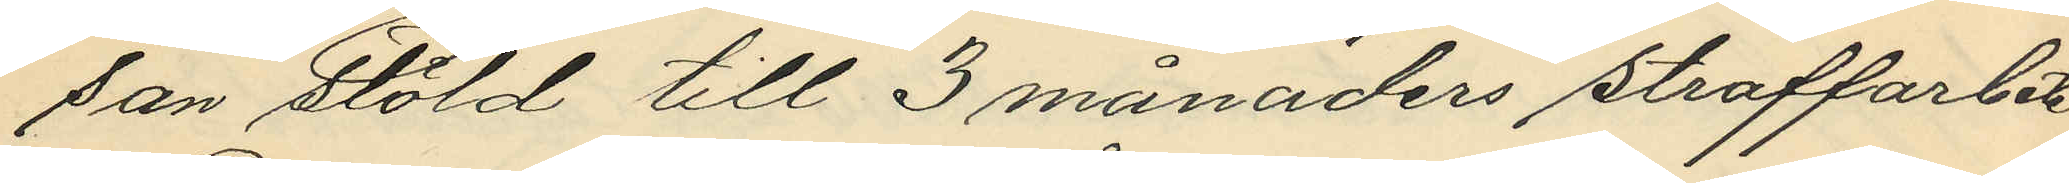san stöld till 3 månaders straffarbete
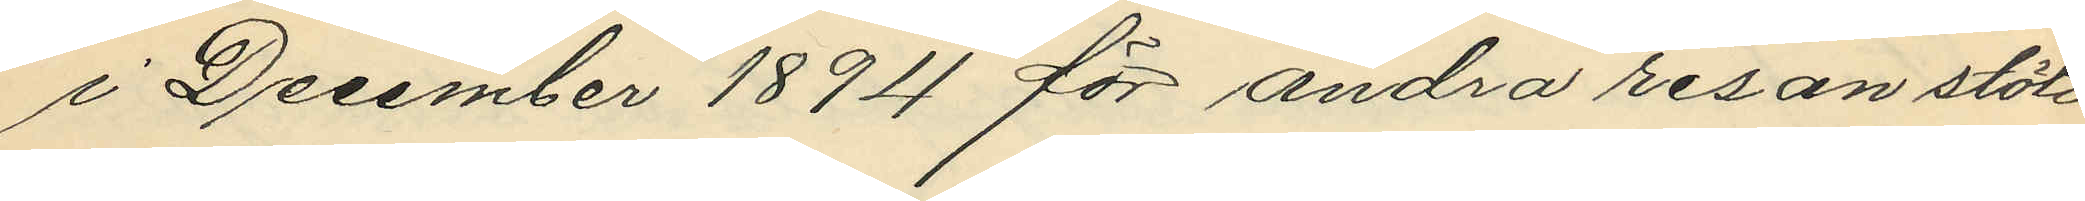i December 1894 för andra resan stöld
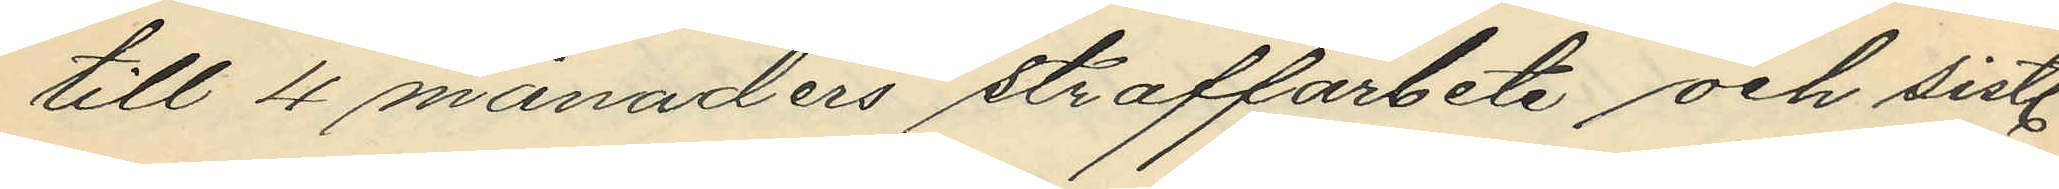till 4 månaders straffarbete och sistl.
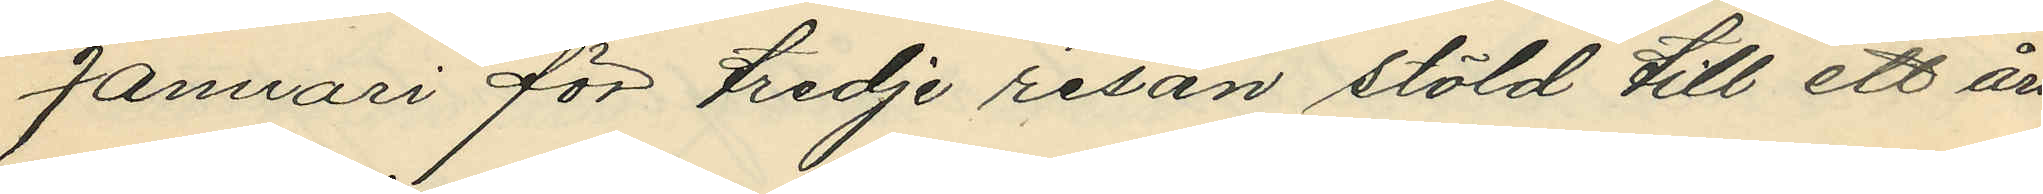Januari för tredje resan stöld till ett års
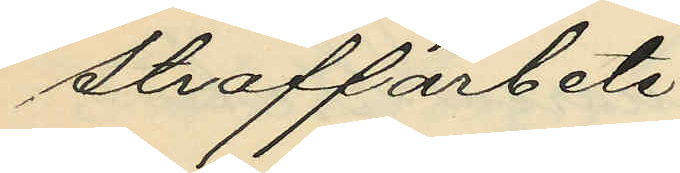straffarbete;
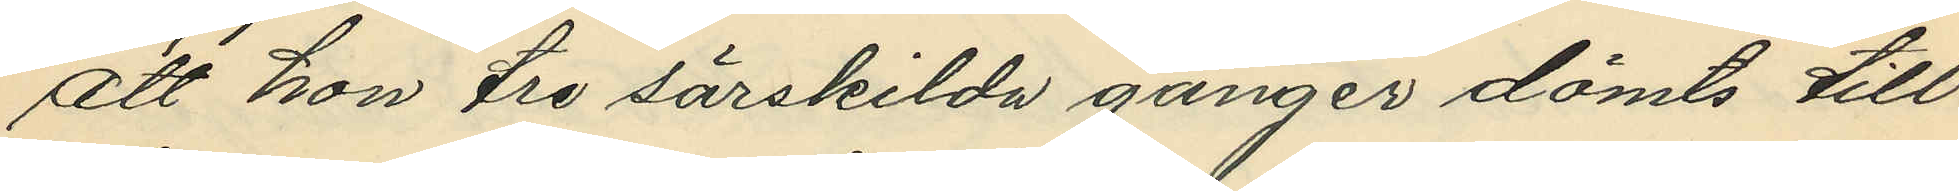att hon tre särskilda gånger dömts till
